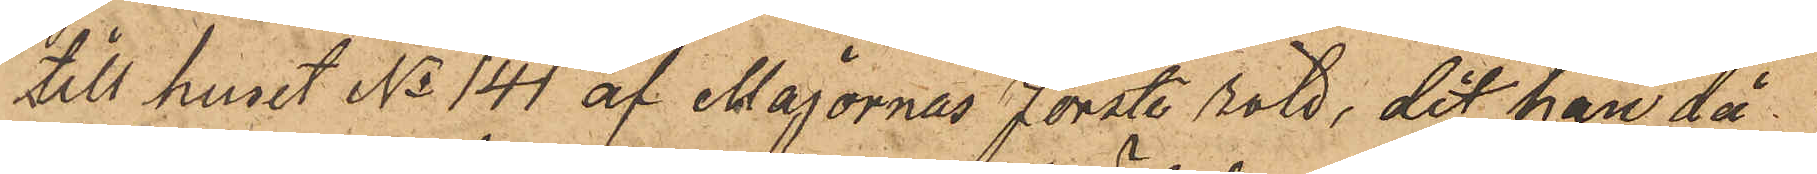till huset No 141 af Majornas Förste rote, dit han då
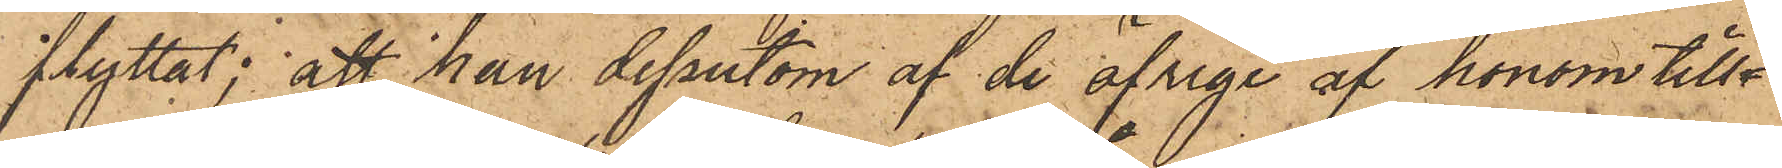flyttat; att han dessutom af de öfriga af honom till¬
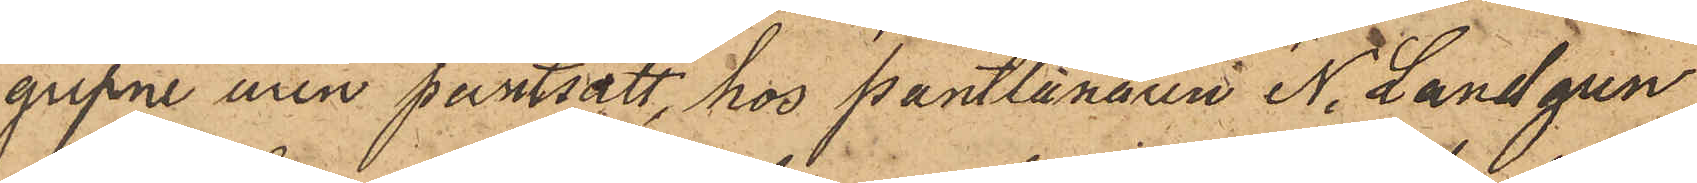gripne uren pantsatt, hos Pantlånaren N. Landgren
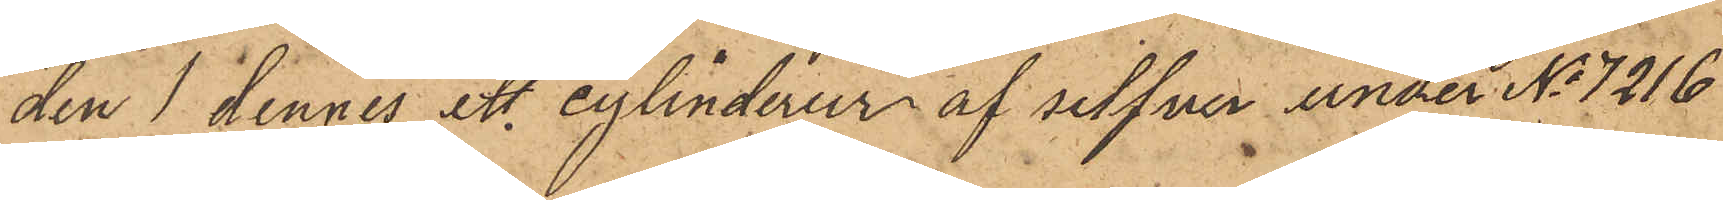den 1 dennes ett cylinderur af silfver under No 7216
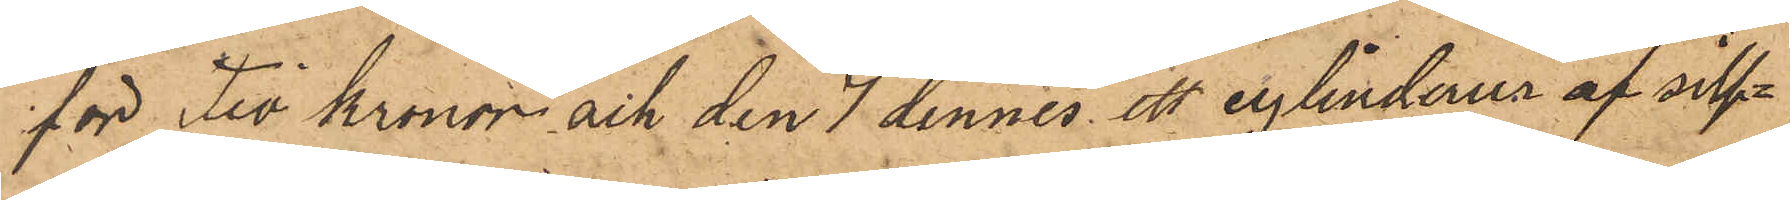för Tio Kronor och den 7 dennes ett cylinderur af silf¬
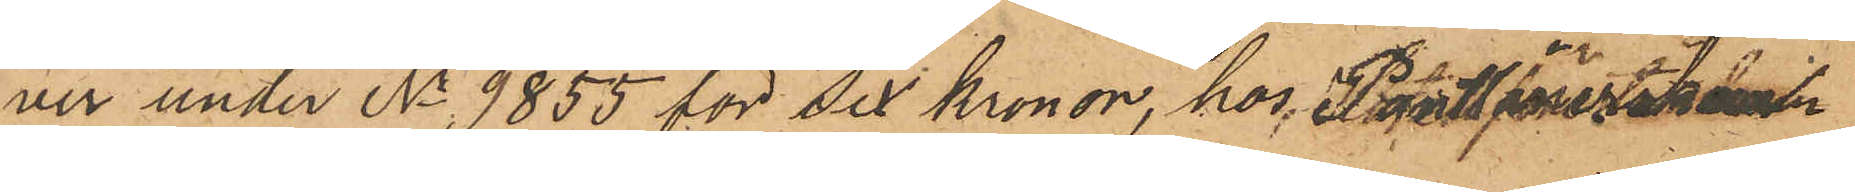ver under No 9855 för Sex Kronor, hos Pantlånerskan
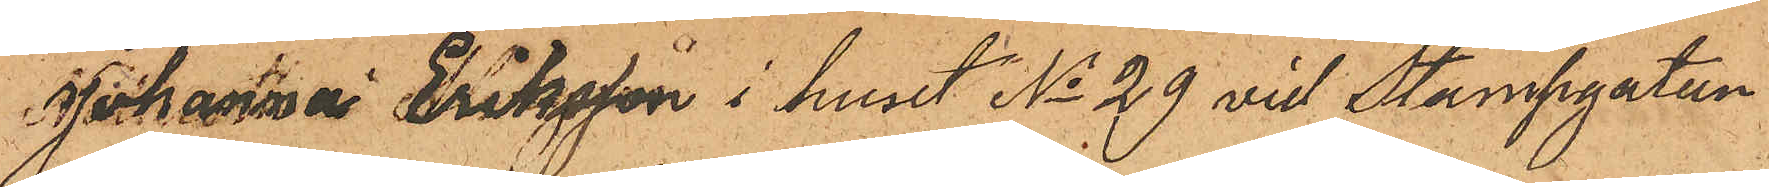Johanna Eriksson i huset No 29 vid Stampgatan
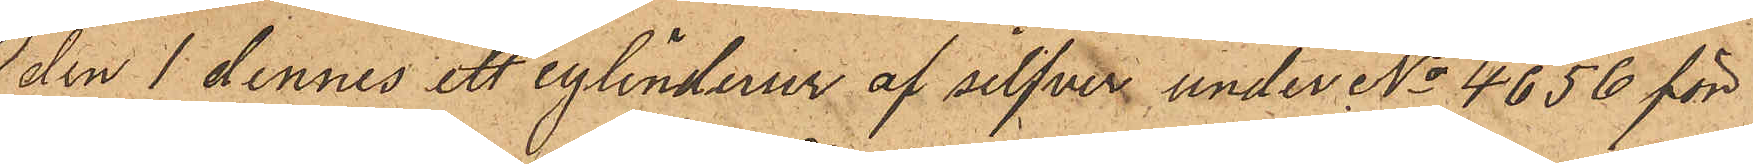den 1 dennes ett cylinderur af silfver under No 4656 för
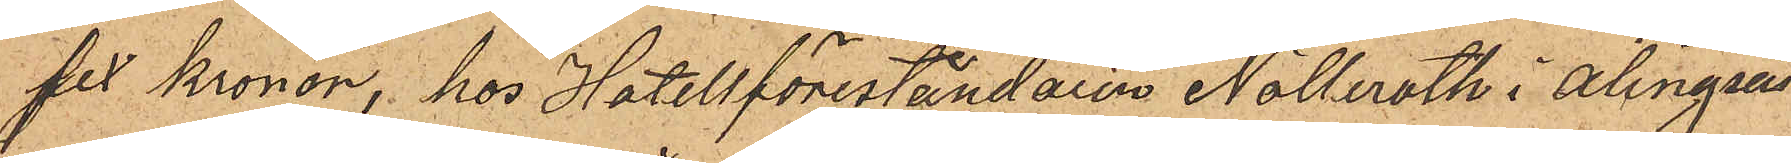sex Kronor, hos Hotellföreståndaren Nolleroth i Alingsås
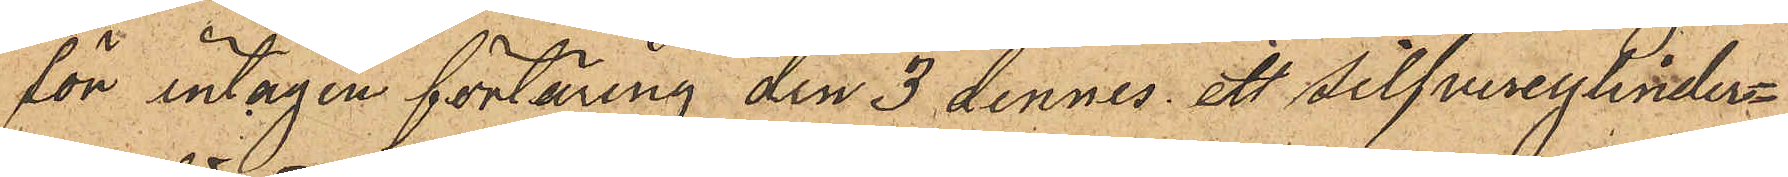för intagen förtäring den 3 dennes ett silfvercylinder¬
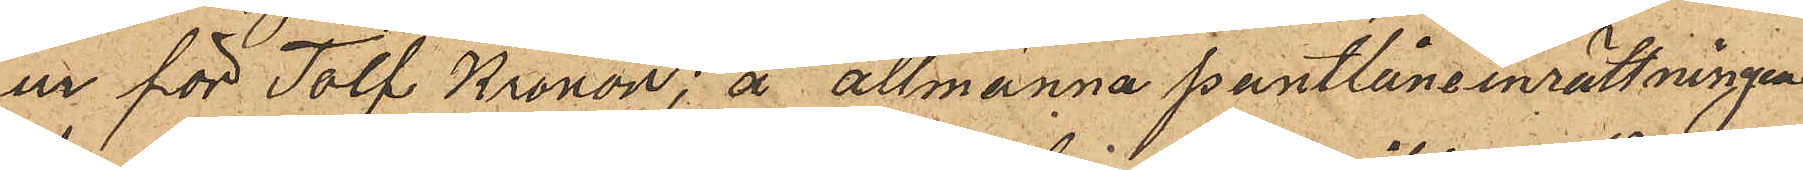ur för Tolf Kronor, å allmänna pantlåneinrättningen
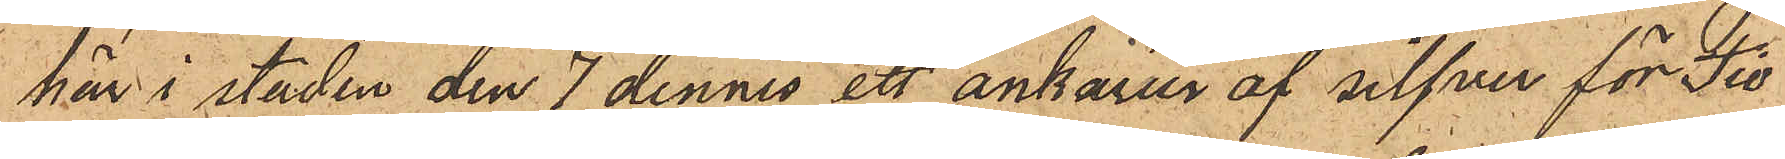här i staden den 7 dennes ett ankarur af silfver för Tio
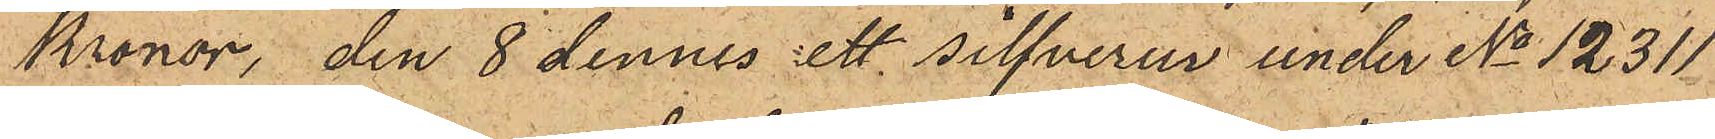kronor, den 8 dennes ett silfverur under No 12311
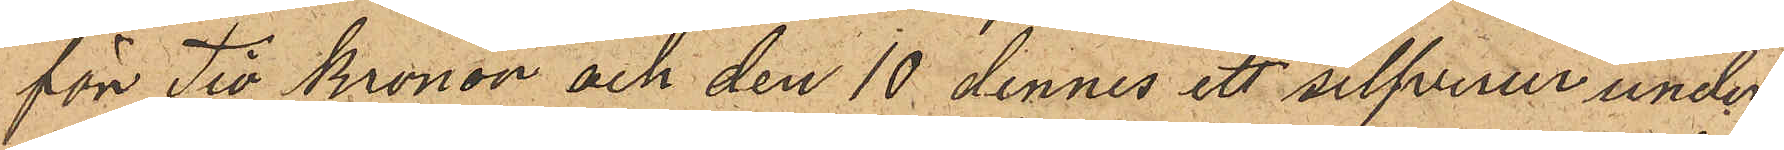för Tio Kronor och den 10 dennes ett silfverur under
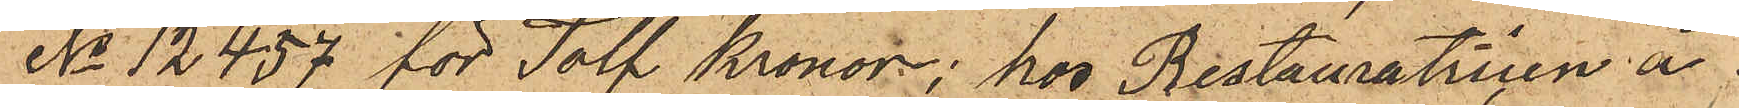No 12457 för Tolf Kronor, hos Restauratricen å
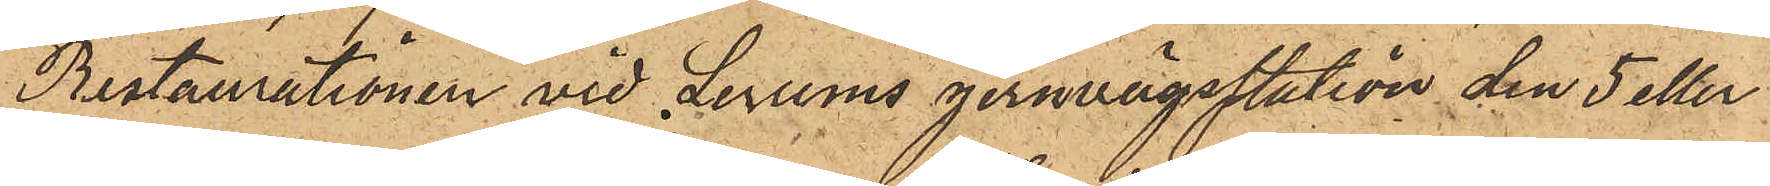Restaurationen vid Lerums jernvägsstation den 5 eller
